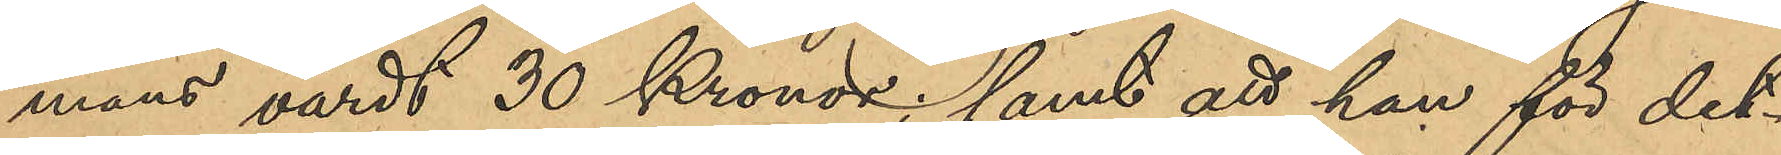mans värdt 30 Kronor; samt att han för det¬
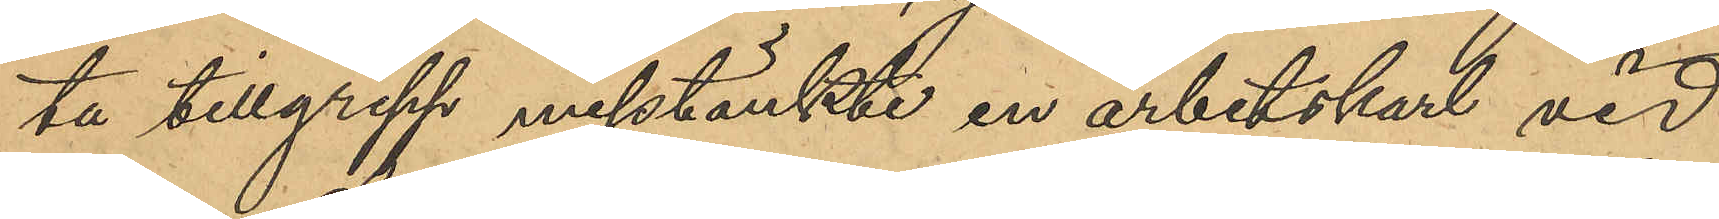ta tillgrepp misstänkte en arbetskarl vid 
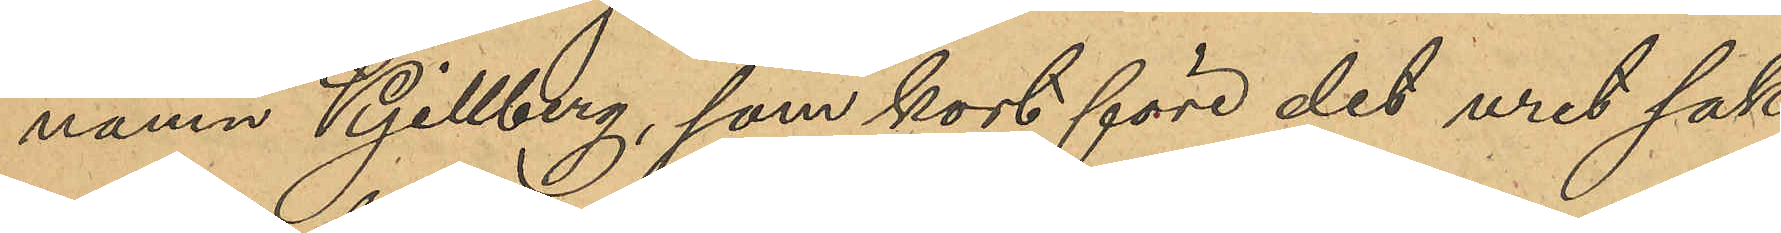namn Kjellberg, som kort före det uret sak¬
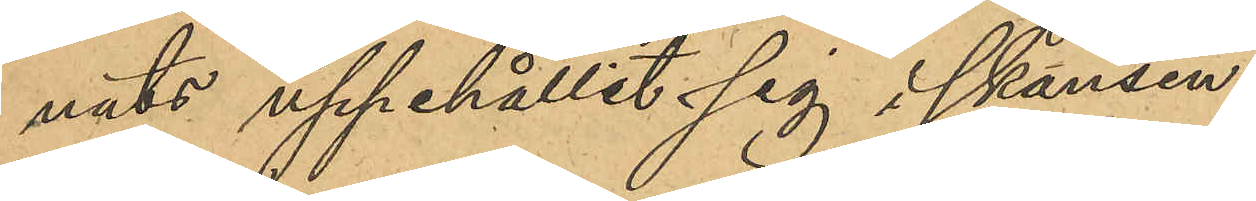nats uppehållit sig i skansen.
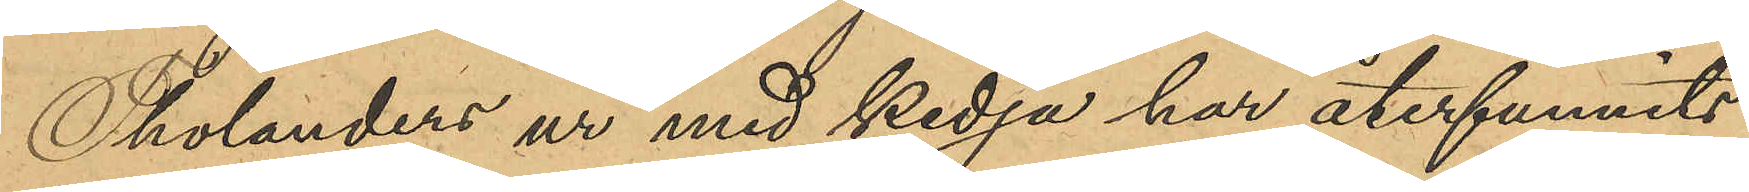Tholanders ur med kedja har återfunnits
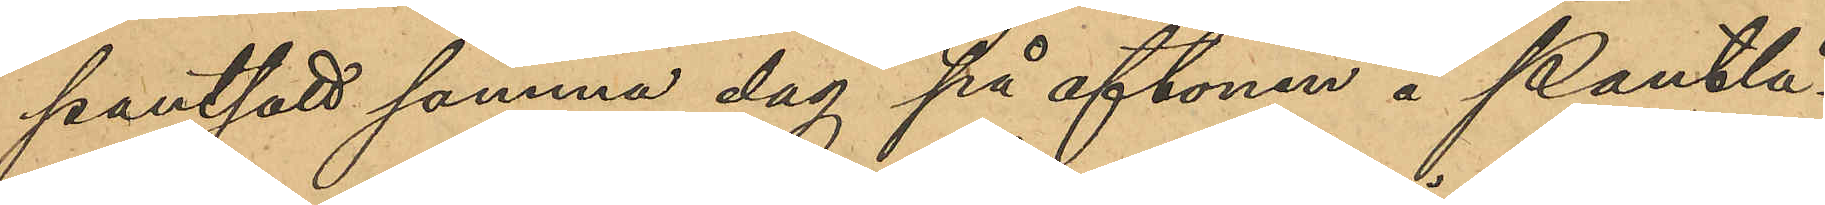pantsatt samma dag på aftonen å Pantlå¬
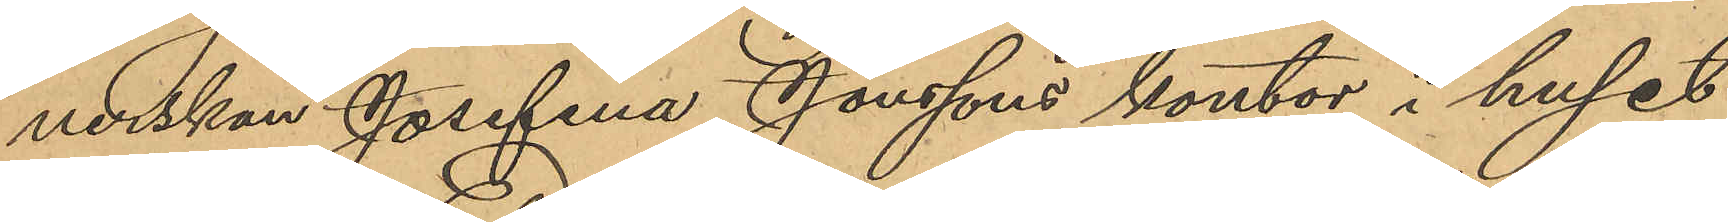nerskan Josefina Jonssons kontor i huset
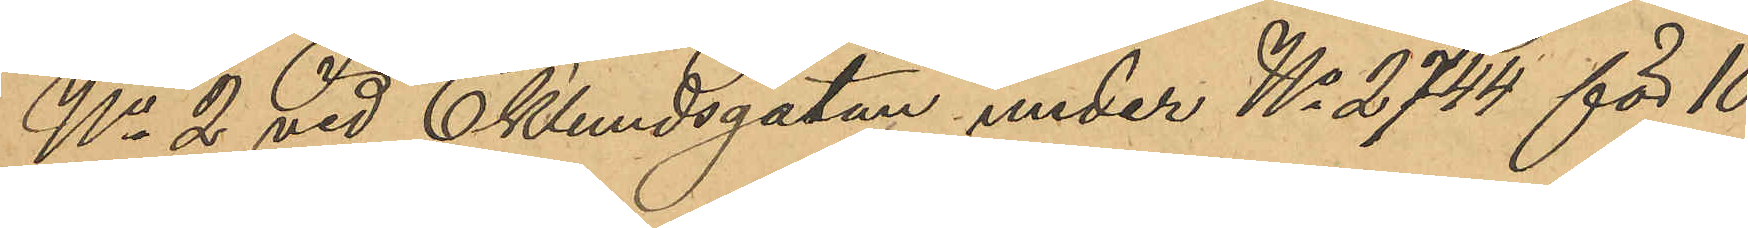No 2 vid Ekelundsgatan under No 2744 för 10
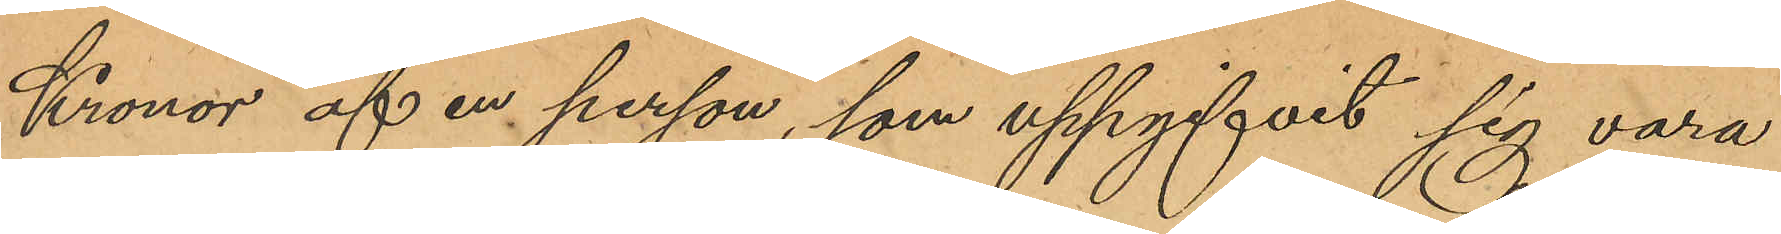Kronor af en person, som uppgifvits sig vara
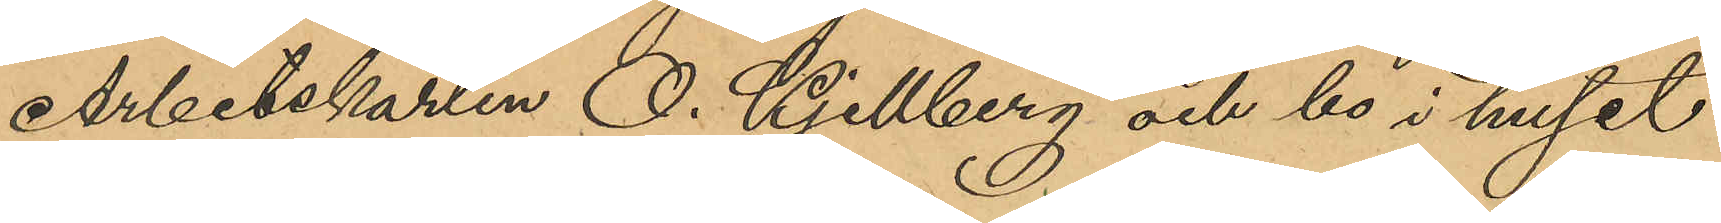Arbetskarlen O. Kjellberg och bo i huset
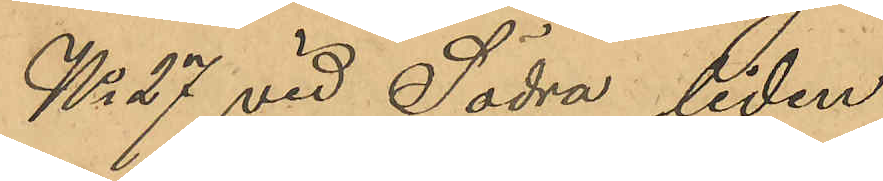No 27 vid Södra liden.
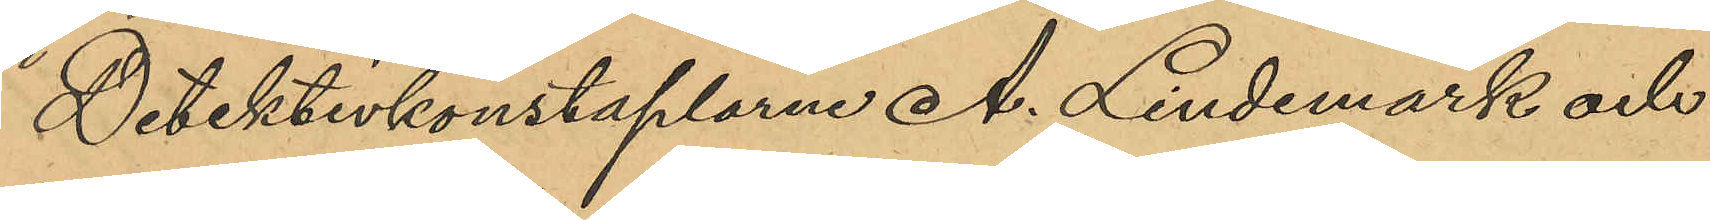Detektivkonstaplarna A. Lindemark och
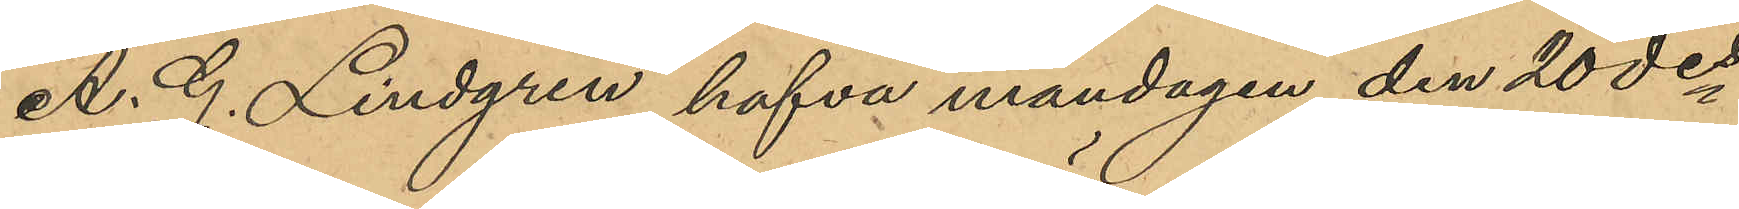A. G. Lindgren hafva måndagen den 20 des
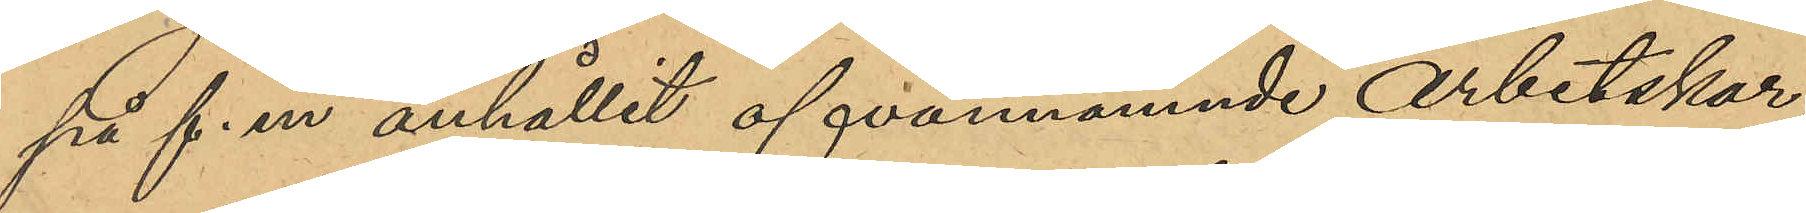på f. m anhållit ofvannämnde arbetskar¬
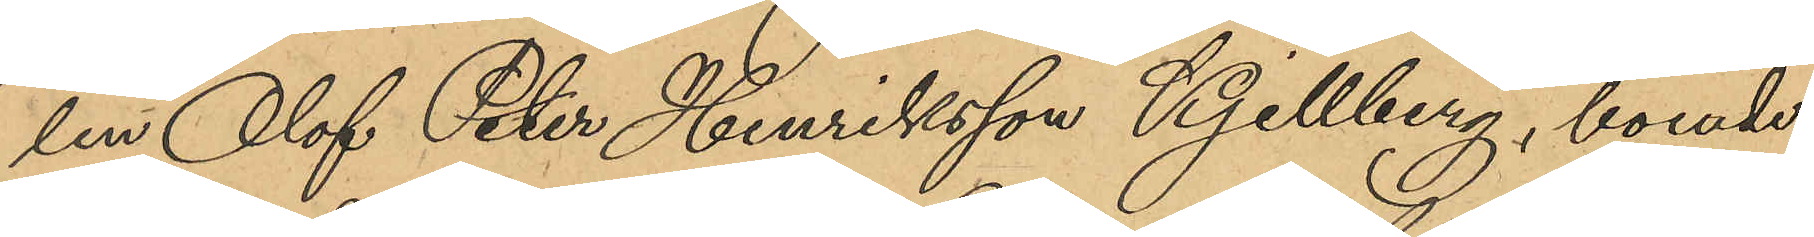len Olof Peter Henriksson Kjellberg, boende
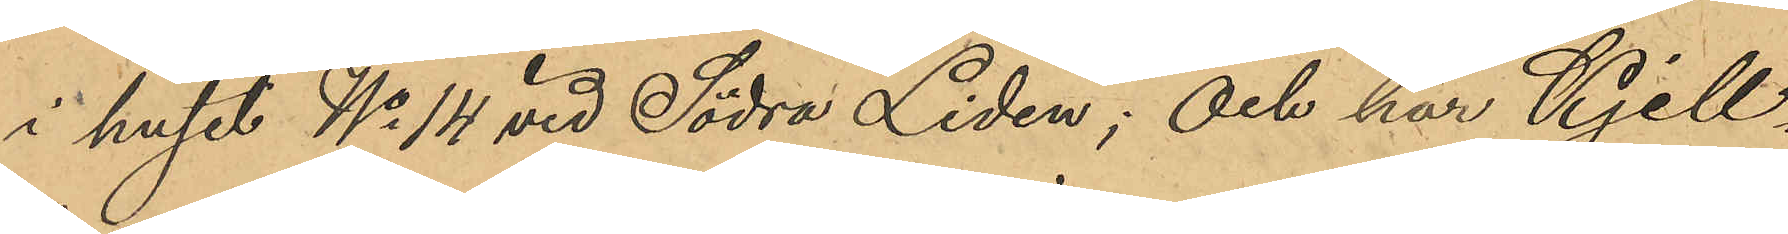i huset No 14 vid Södra Liden; och har Kjell¬
